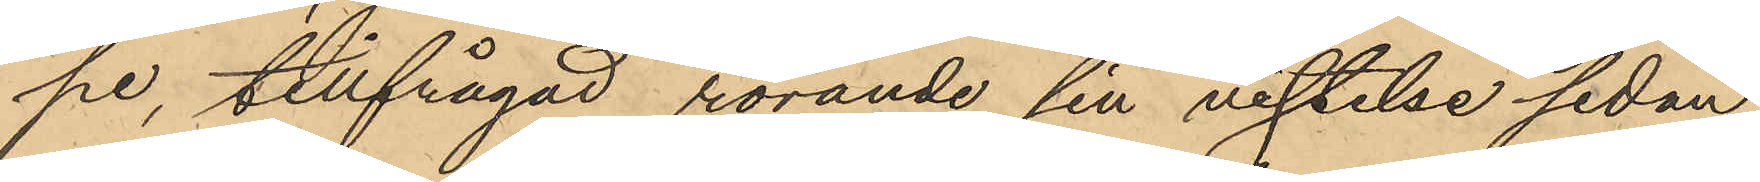pe, tillfrågad rörande sin vistelse sedan
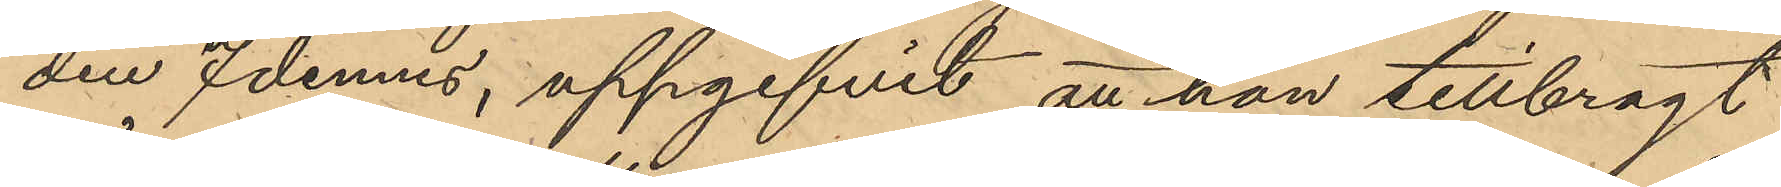den 7 dennes, uppgifvit att hon tillbragt
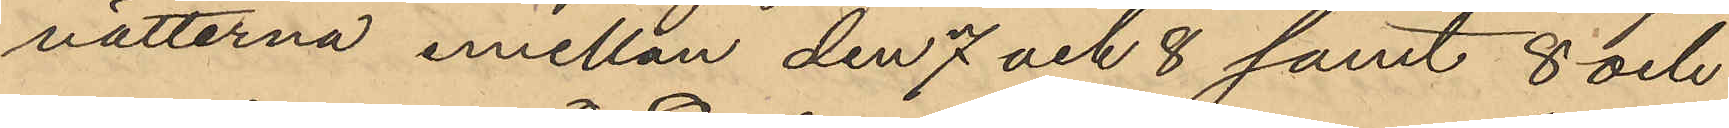nätterna emellan den 7 och 8 samt 8 och
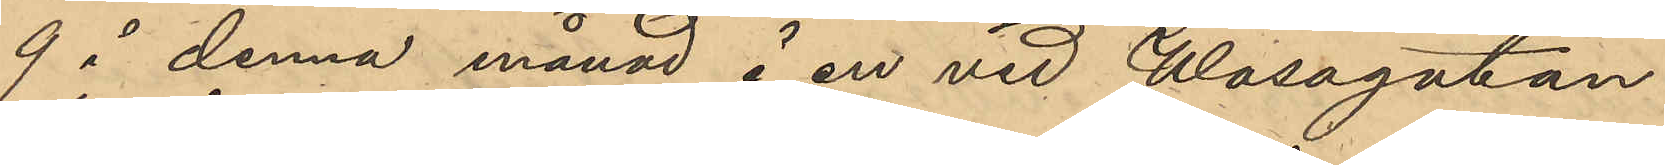9 i denna månad å en vid Wasagatan
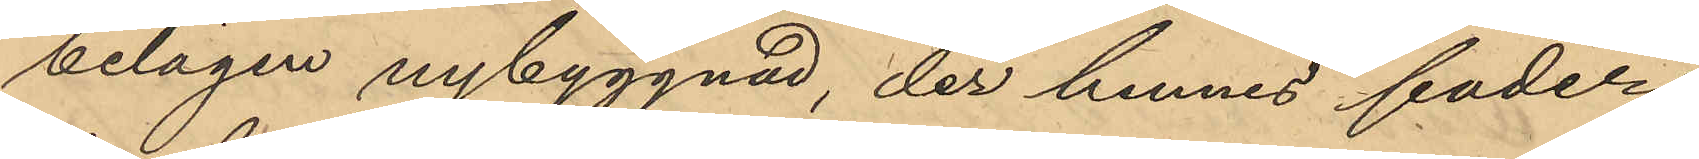belägen nybyggnad, der hennes fader
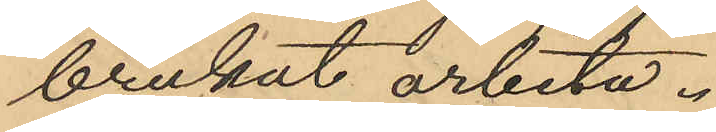brukat arbeta.
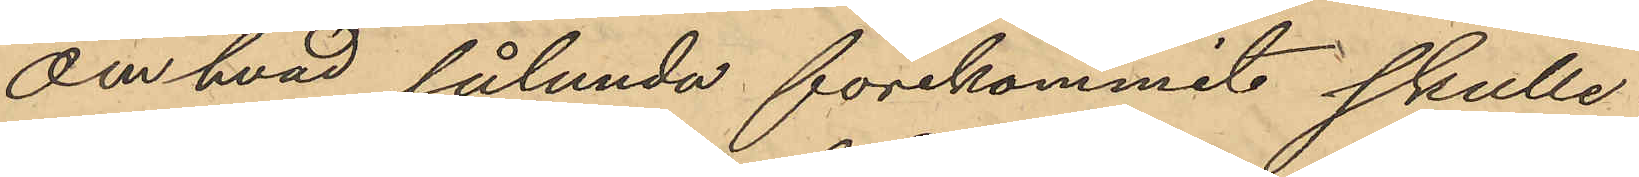Om hvad sålunda förekommit skulle
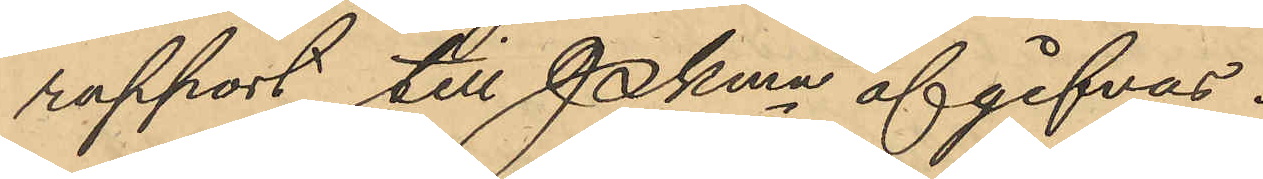rapport till Pkmn afgifvas.
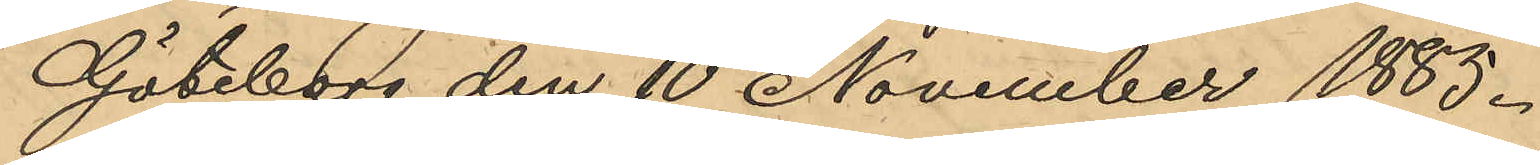Göteborg den 10 November 1885.
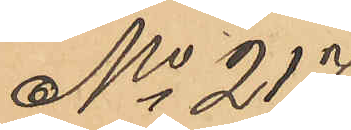No 217
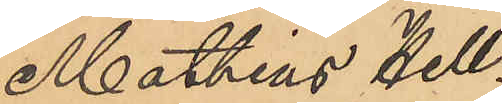Mathias Hell¬
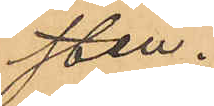sten.
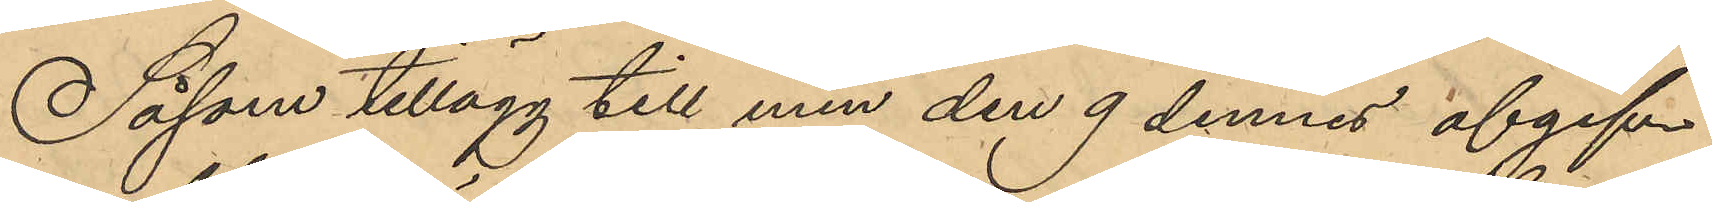Såsom tillägg till min den 9 dennes afgif¬
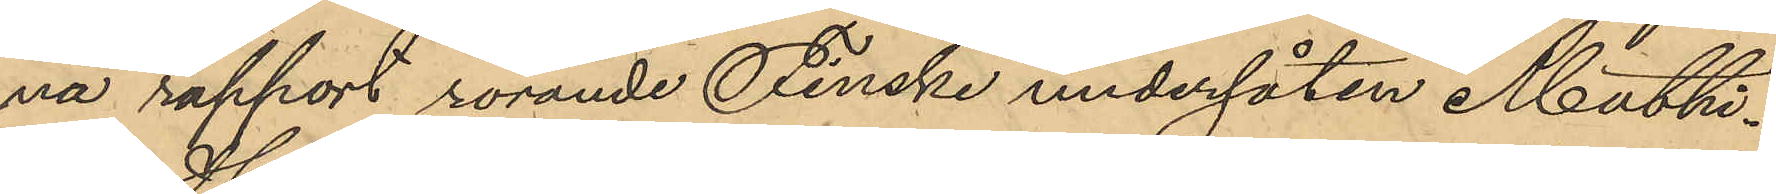na rapport rörande Finske undersåten Mathi¬
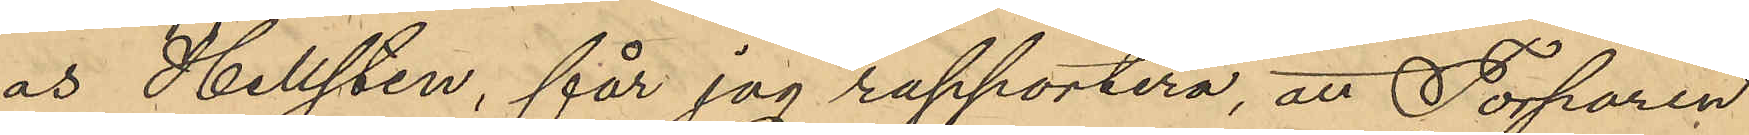as Hellsten, får jag rapportera, att Torparen
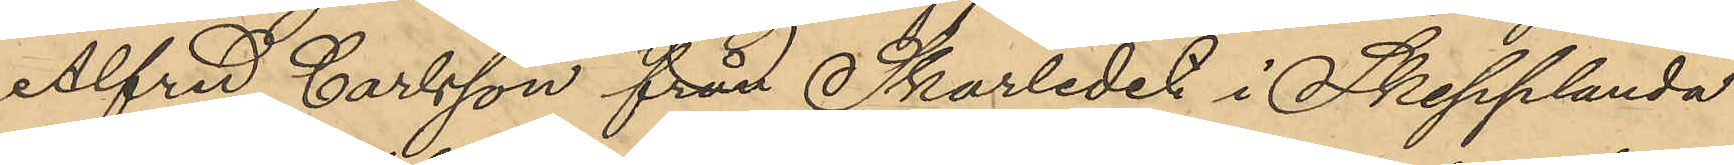Alfred Carlsson från Skarledet i Skepplanda
